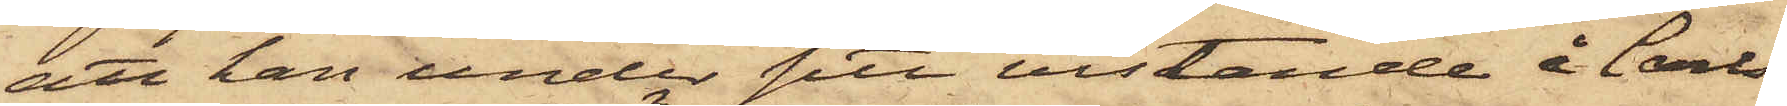att han under sitt vistande å Carls¬
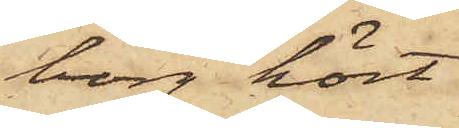borg hört
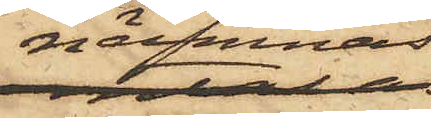nämnas
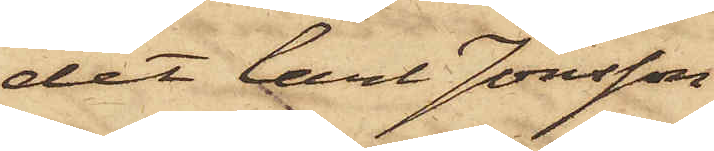det Carl Jonsson
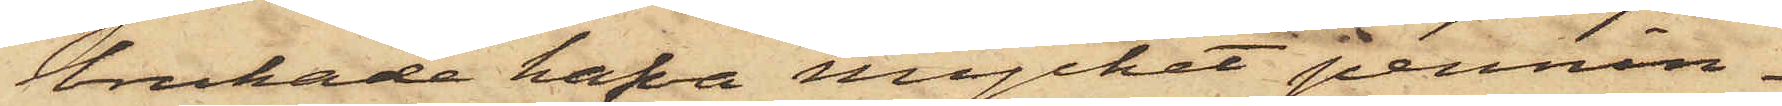brukade hafva mycket pennin¬
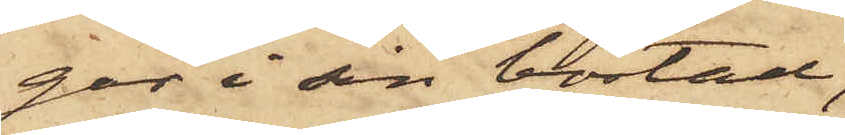gar i sin bostad,
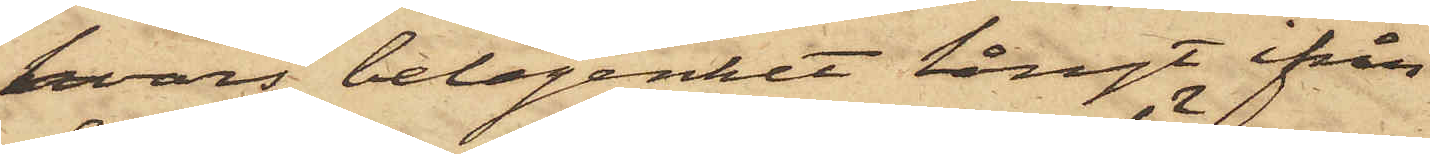hvars belägenhet långt ifrån
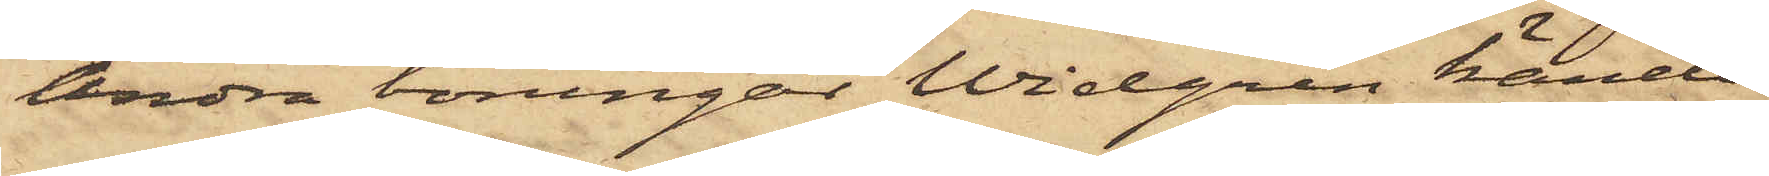Andra boningar Widgren kände
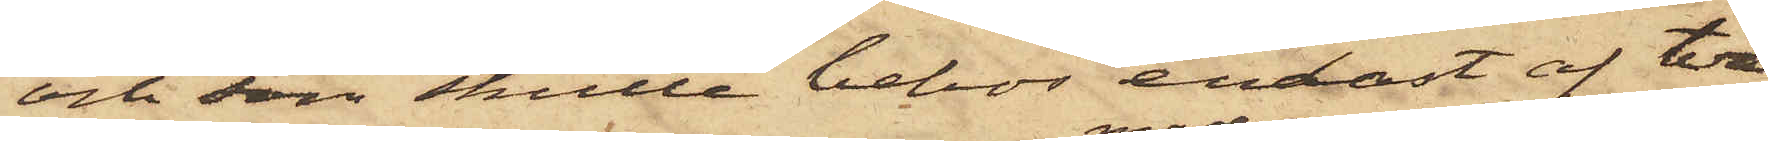och som skulle bebos endast af två
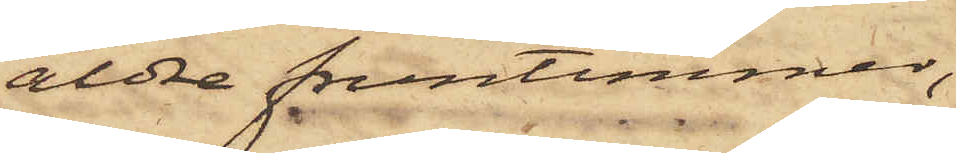äldre fruntimmer,
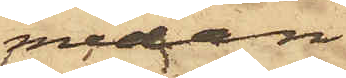medan
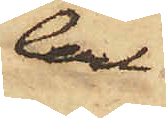Carl
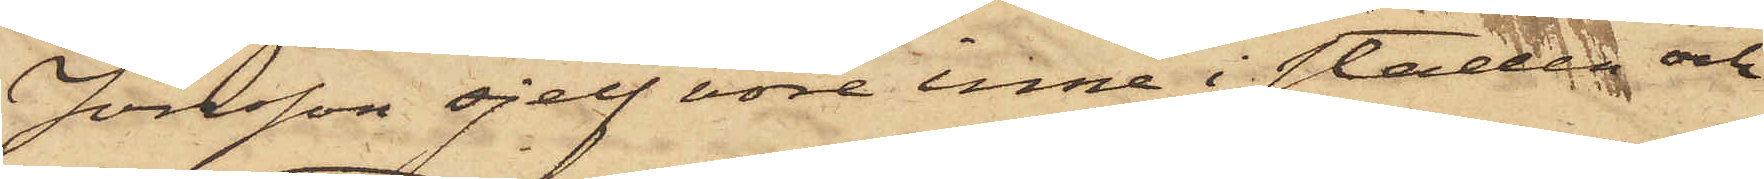Jonsson sjelf vore inne i staden och
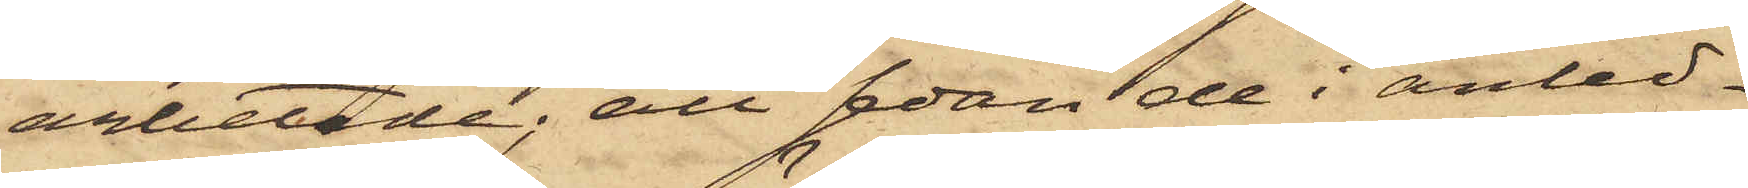arbetade; att sedan de i anled¬
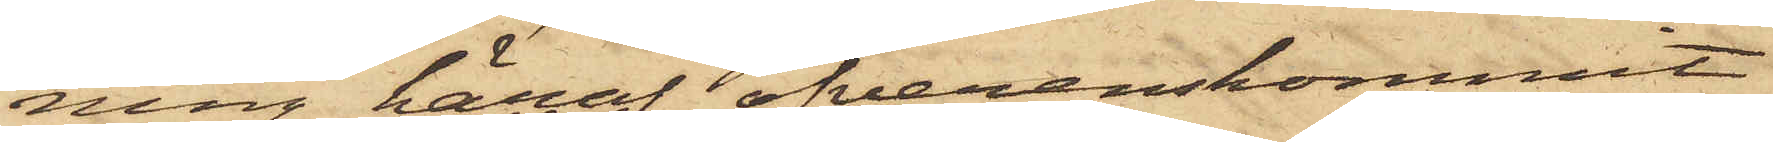ning häraf öfverenskommit
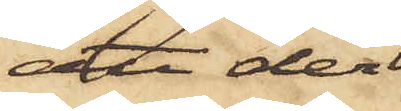att der
